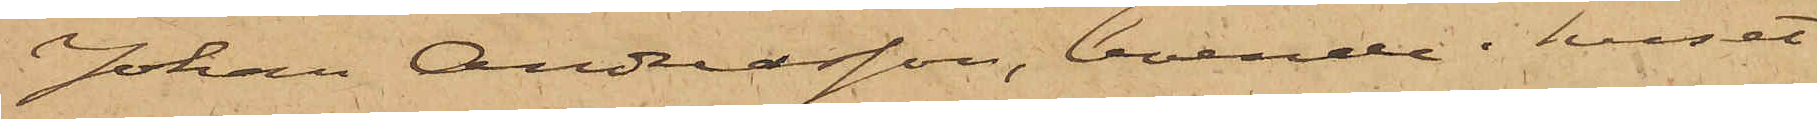Johan Andreasson, boende i huset
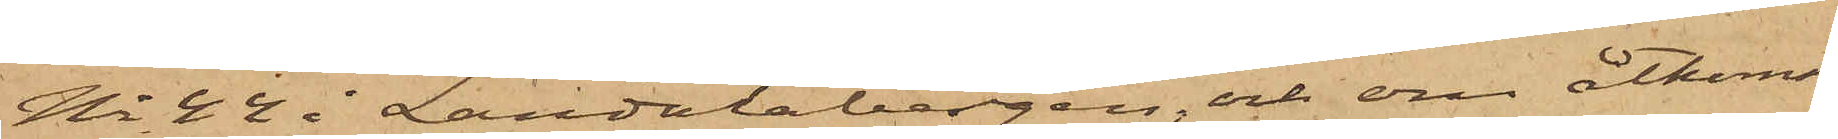No 44 i Landalabergen, och om åtkomst
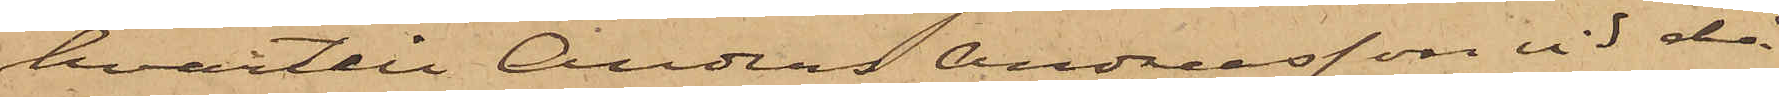hvartill Anders Andreasson vid då
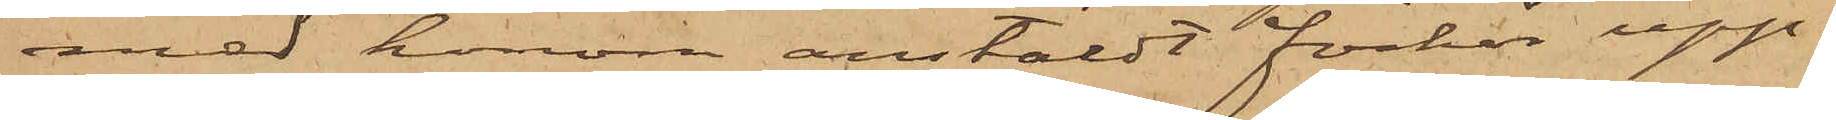med honom anstäldt förhör upp¬
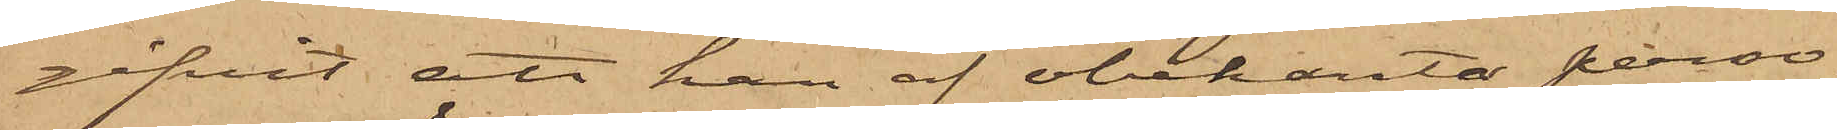gifvit att han af obekanta perso¬
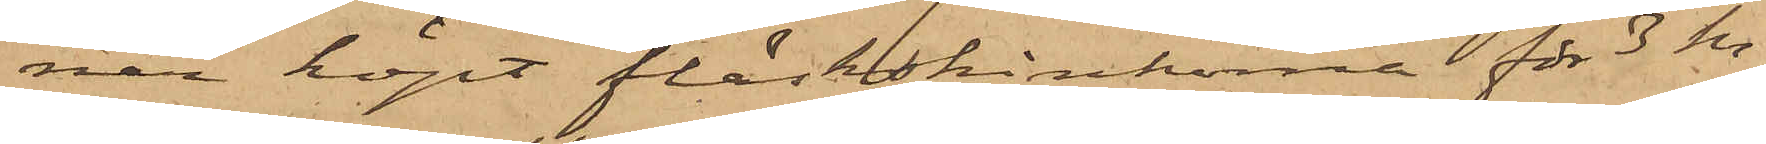ner köpt fläskskinkorne för 3 kr.
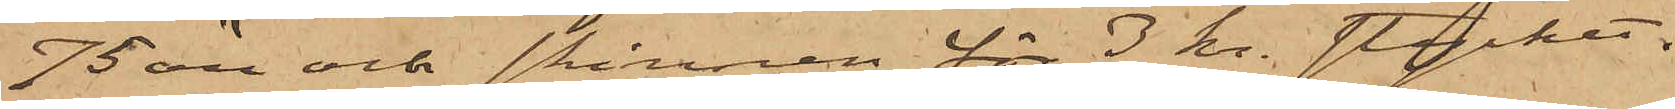75 öre och skinnen för 3 kr. stycket.
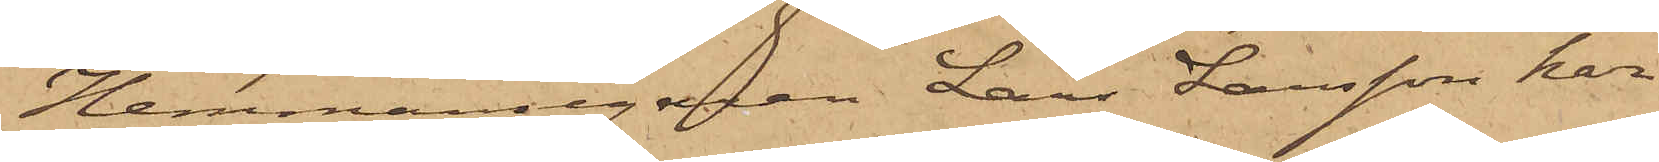Hemmansegaren Lars Larsson har
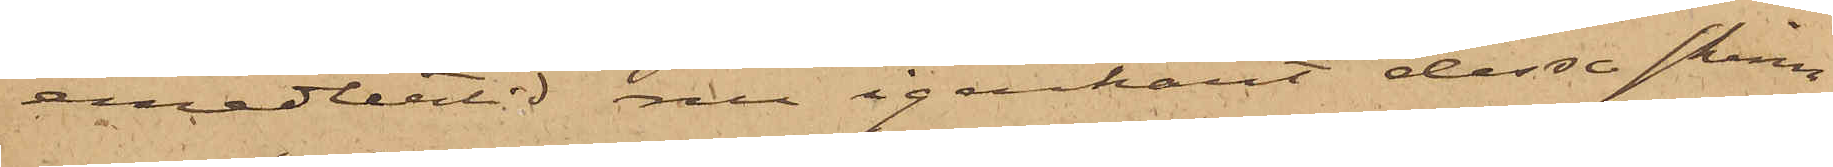emedlertid nu igenkänt dessa skinn
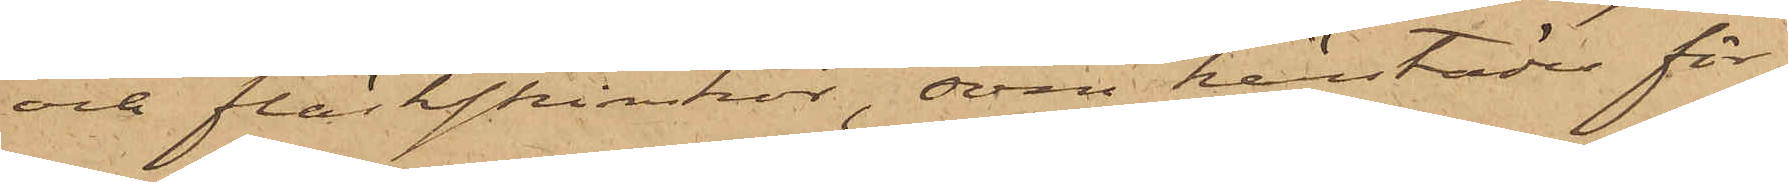och fläskskinkor, som härstädes för¬
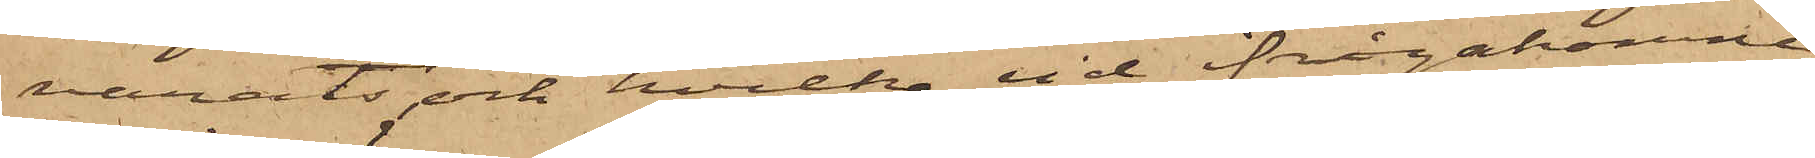varats, och hvilka vid ifrågakomne
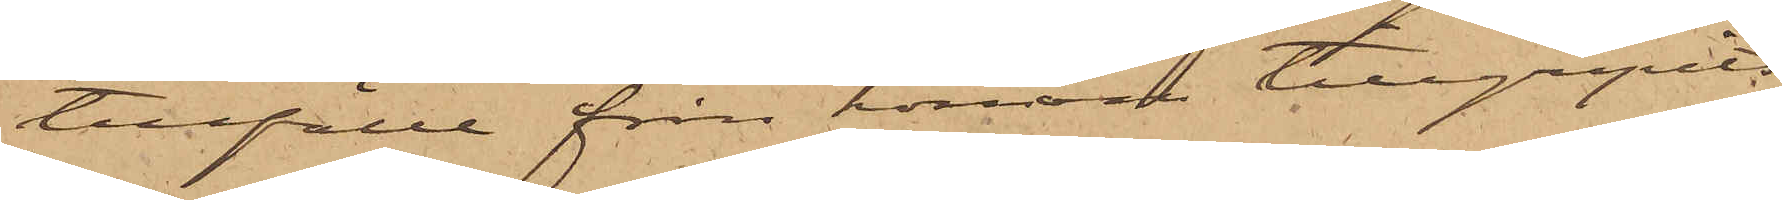tillfälle från honom tillgripits.
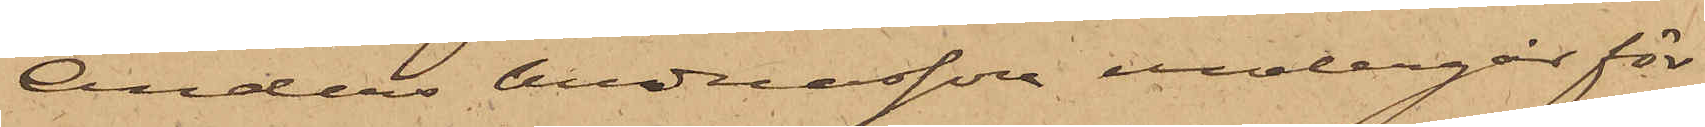Anders Andreasson undergår för
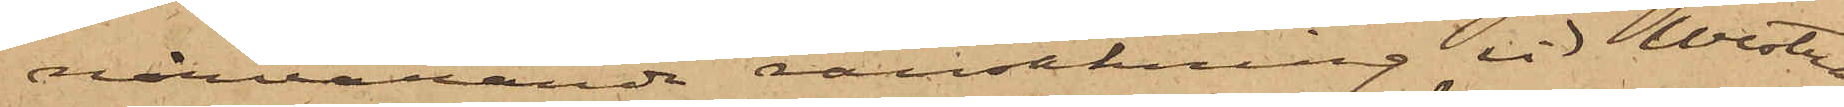närvarande ransakning vid Westra
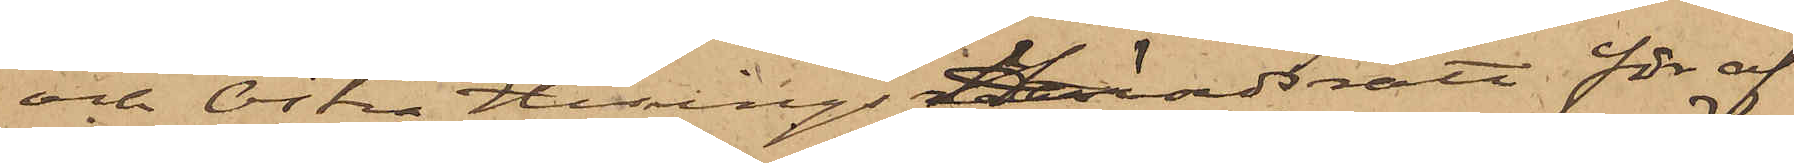och Östra Hisings Häradsrätt för af
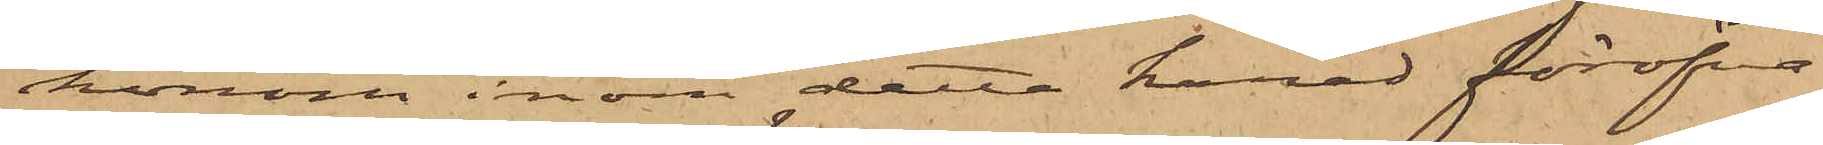honom inom detta härad föröfva¬
